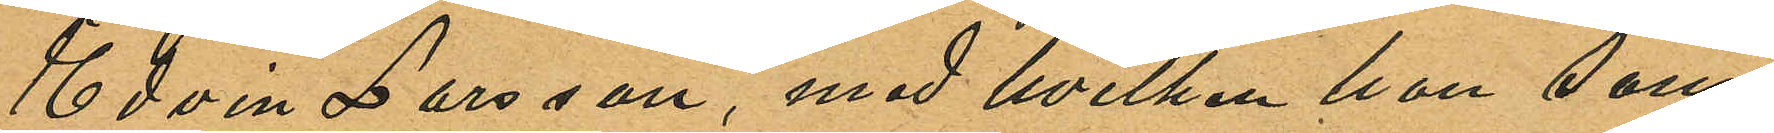Edvin Larsson, med hvilken hon sam¬
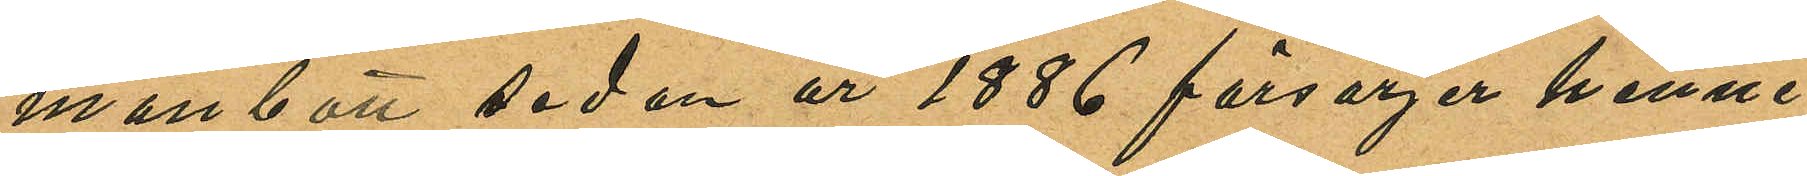manbott sedan år 1886 försörjer henne
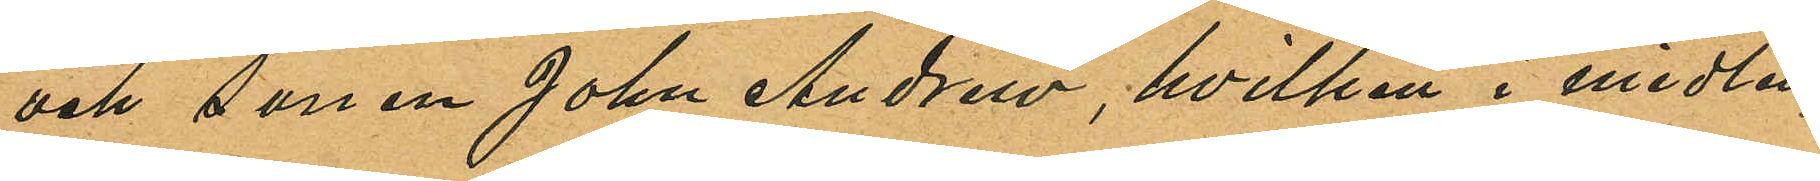och sonen John Andrew, hvilken i midten
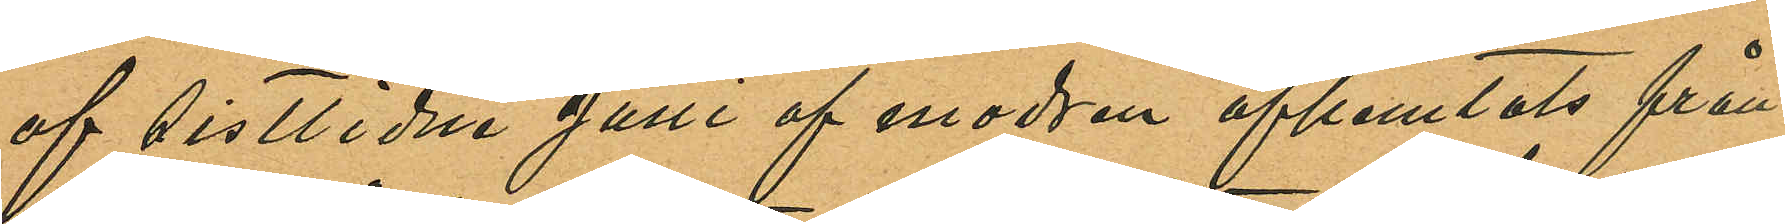af sistlidne Juni af modren afhemtats från
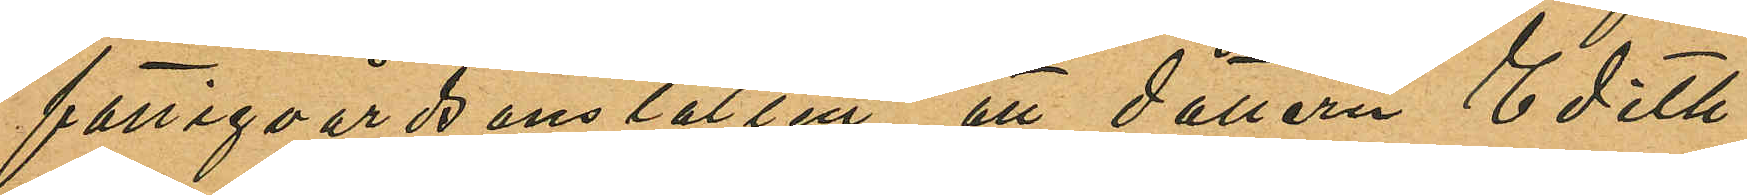fattigvårdsanstalten; att dottern Edith
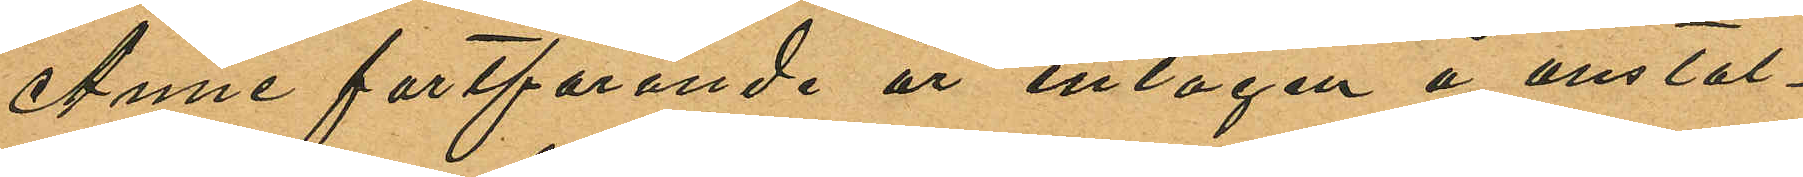Anne fortfarande är intagen å anstal¬
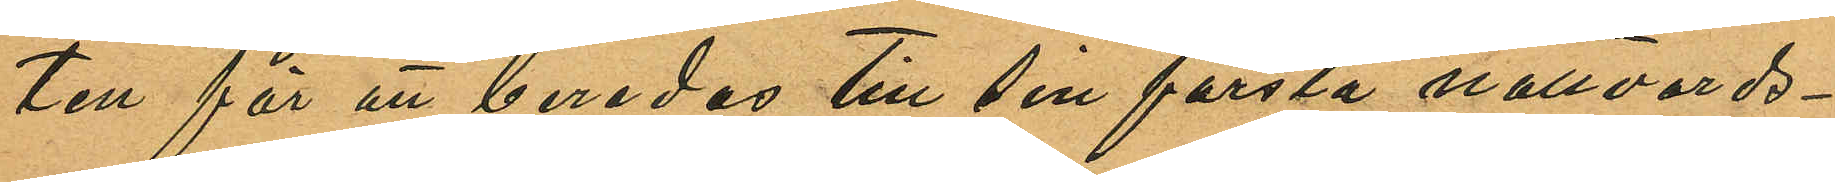ten för att beredas till sin första nattvards¬
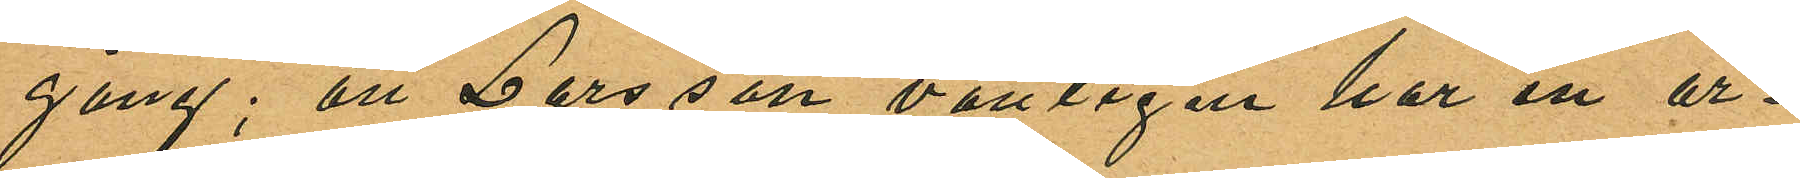gång; att Larsson vanligen har en ar¬
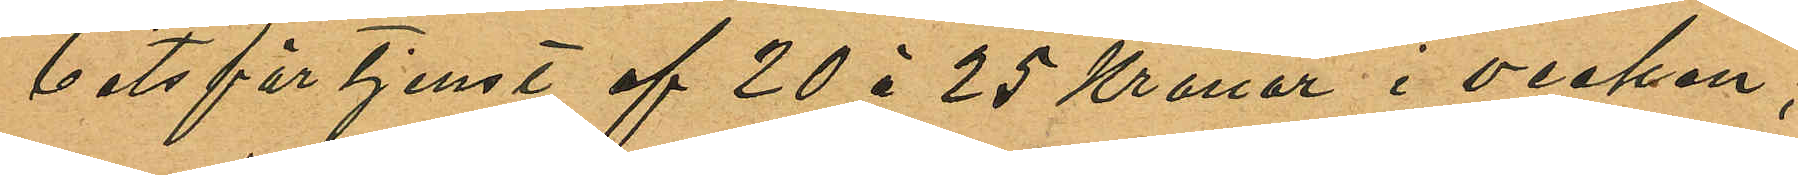betsförtjenst af 20 à 25 Kronor i veckan,
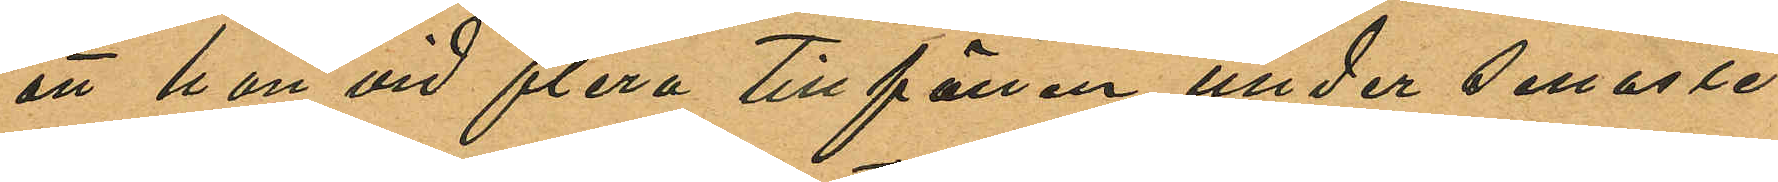att han vid flera tillfällen under senaste
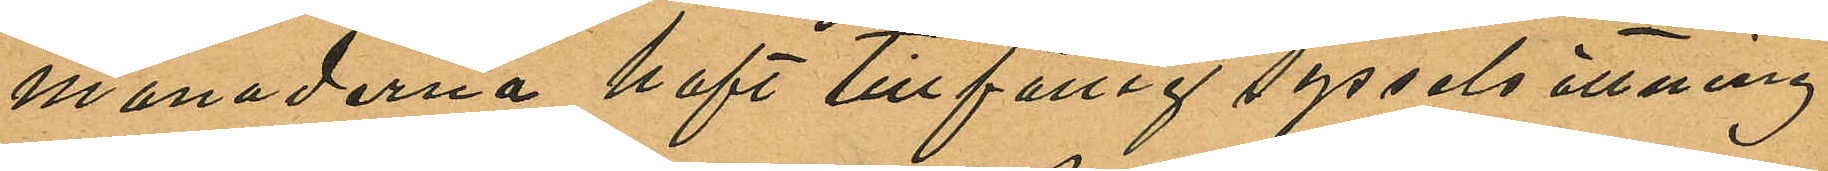månaderna haft tillfällig sysselsättning
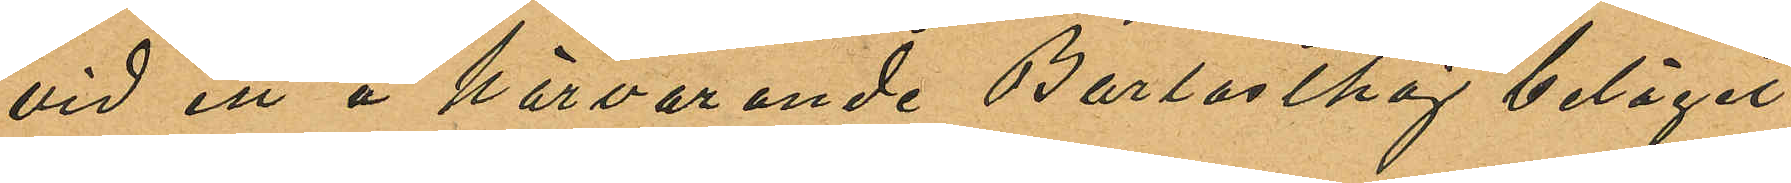vid ett å härvarande Barlastkaj beläget
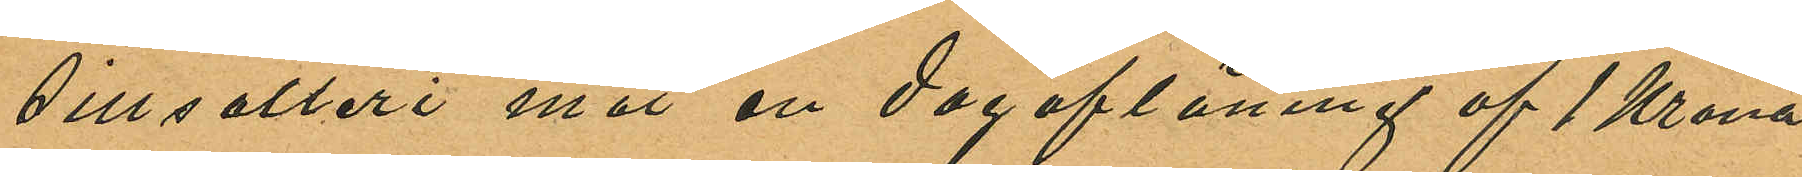sillsalteri mot en dagaflöning af 1 Krona
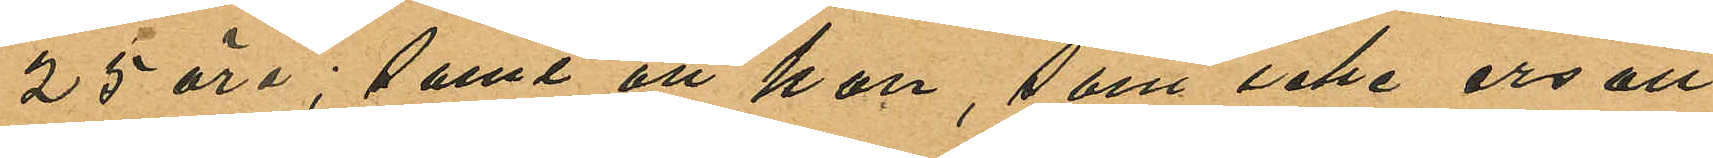25 öre; samt att han, som icke ersatt
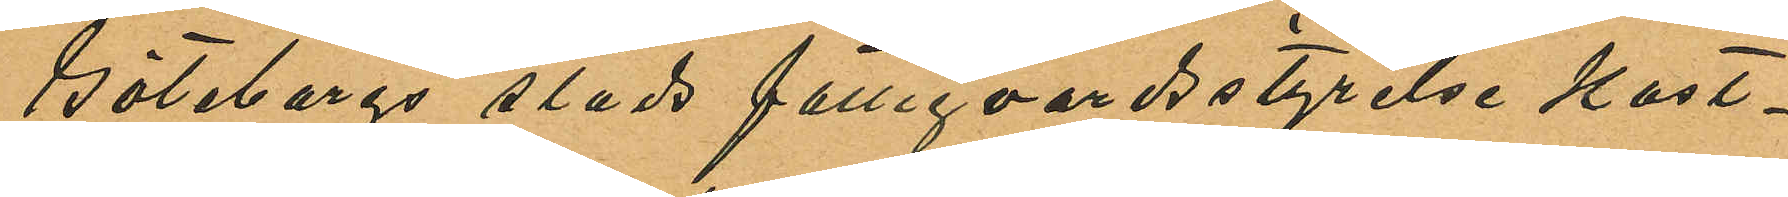Göteborgs stads fattigvårdsstyrelse kost¬
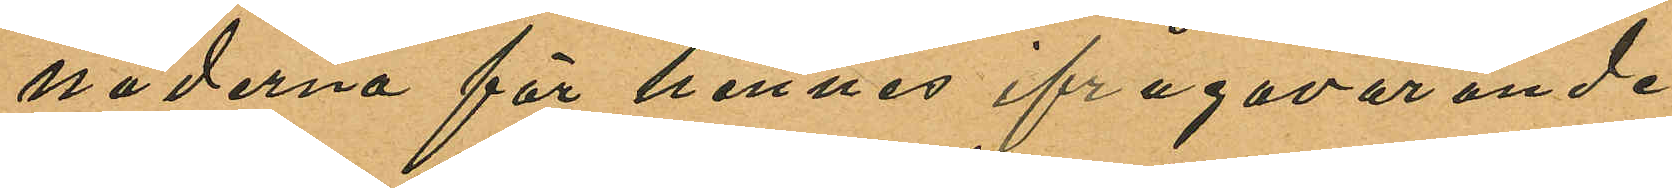naderna för hennes ifrågavarande
